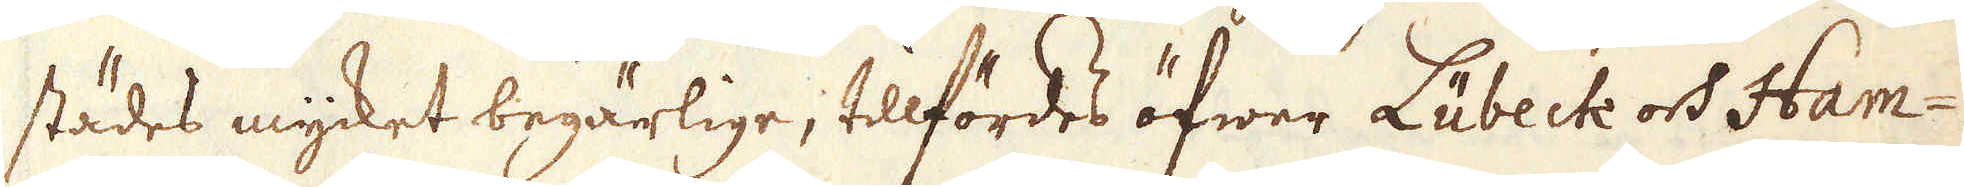städes myket begärlige, tillfördes öfwer Lübeck och Ham-
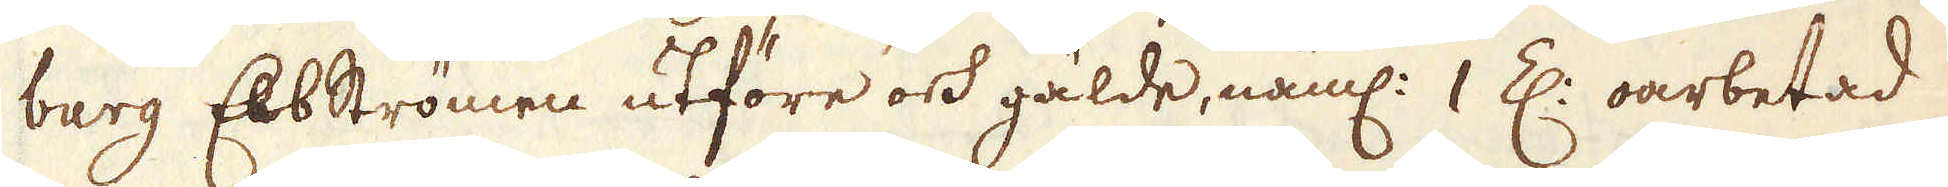burg Elbströmen utföre och gälde, näml: 1 E. oarbetad
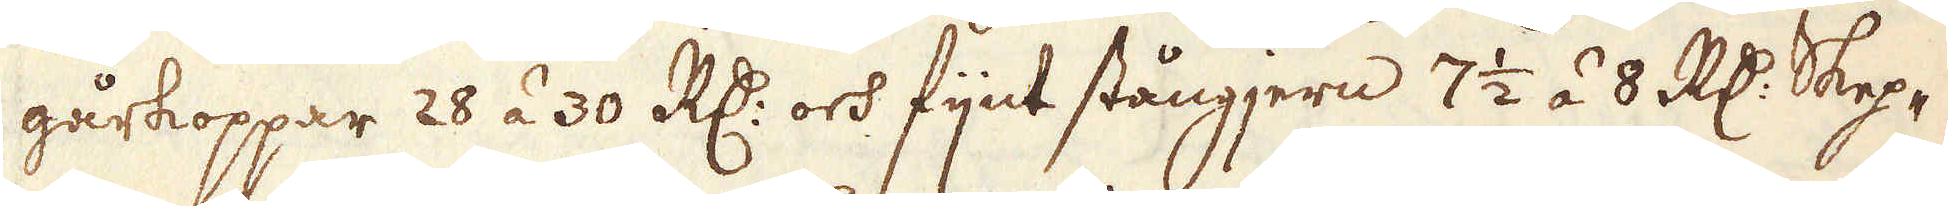gårkoppar 28 à 30 R:r och fjnt stångjern 7 1/2 à 8 R:r Skep-
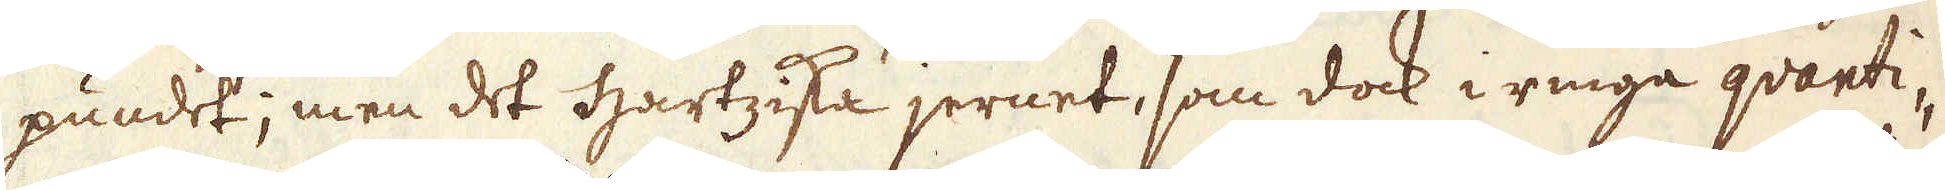pundet; men det Hartziska jernet, som dock i ringa quanti-
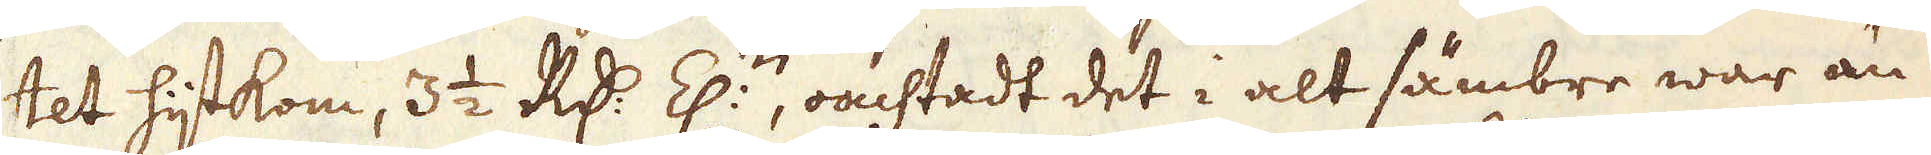tet hijtkom, 3 1/2 RD:r E:n, oachtadt det i alt sämbre war än
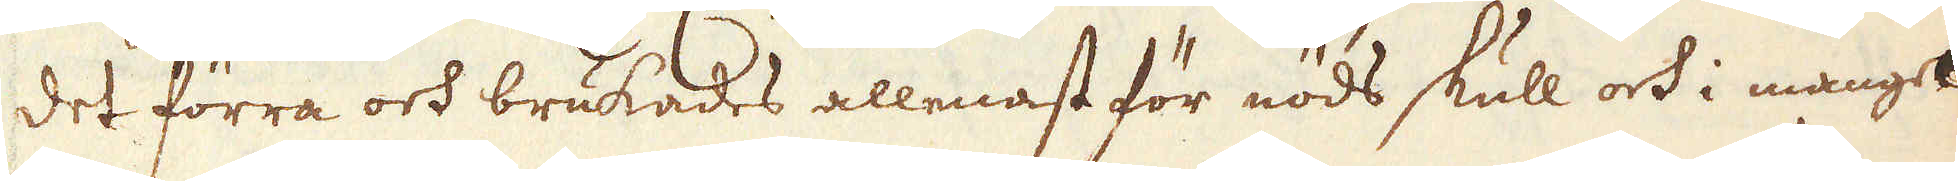det förra och brukades allenast för nöds skull och i mangel
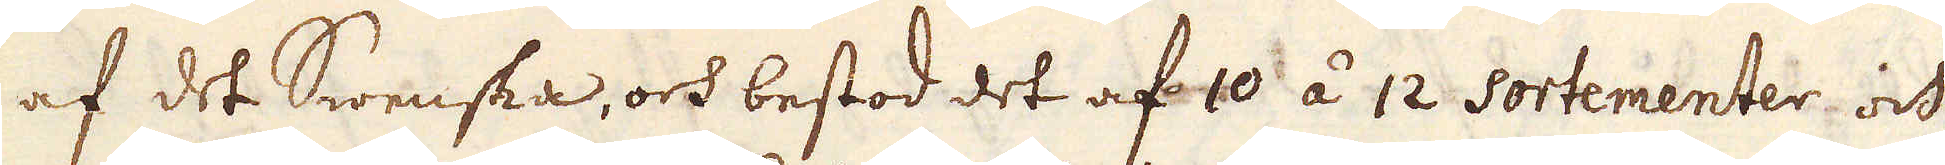af det Swenska, och bestod det af 10 à 12 sortementer och
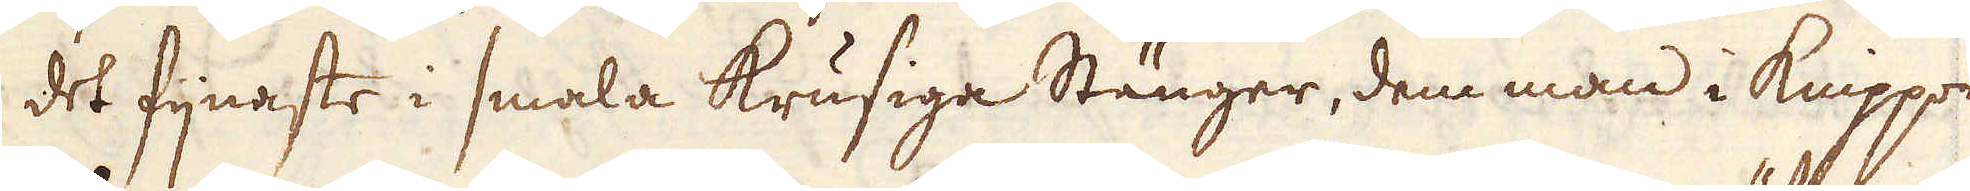det fijnaste i smala krusiga Stänger, dem man i knippor
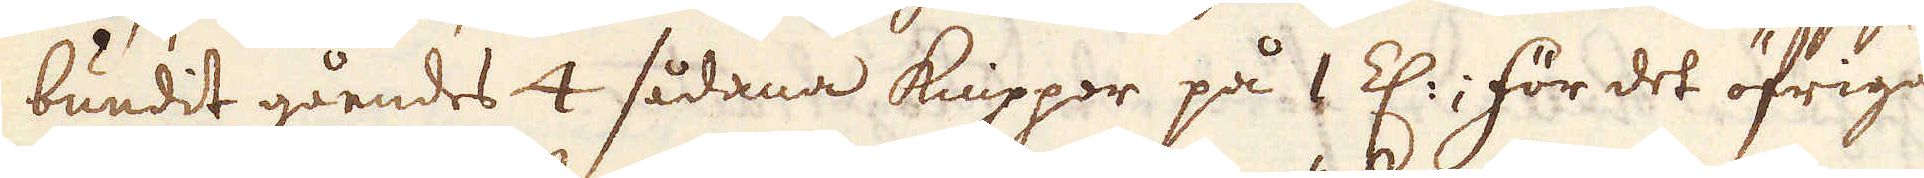bundit gåendes 4 sådana knippor på 1 E:; för des öfriga
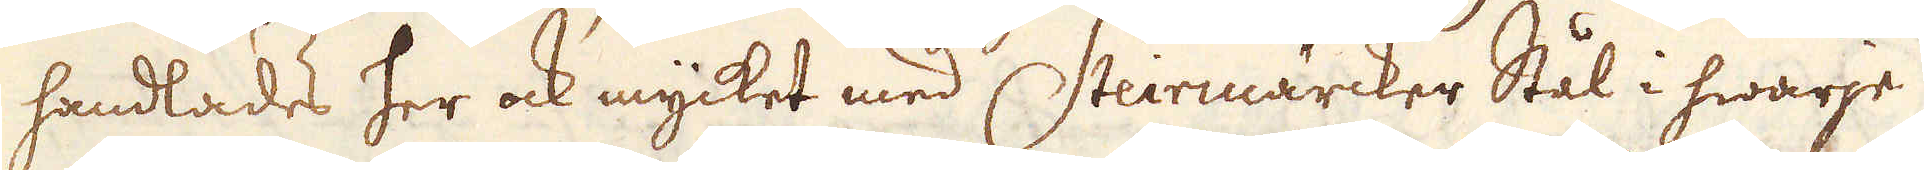handlades her och mycket med Stiermärcker Stål i hwarje-
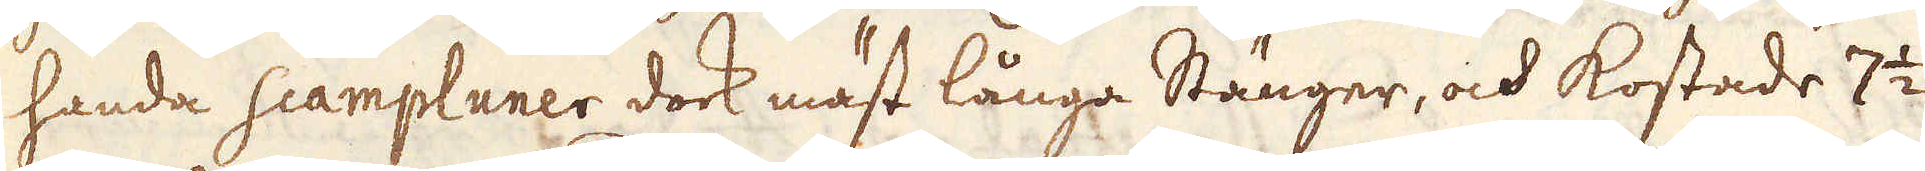handa scampluner dock mäst långa Stänger, och kostade 7 1/2
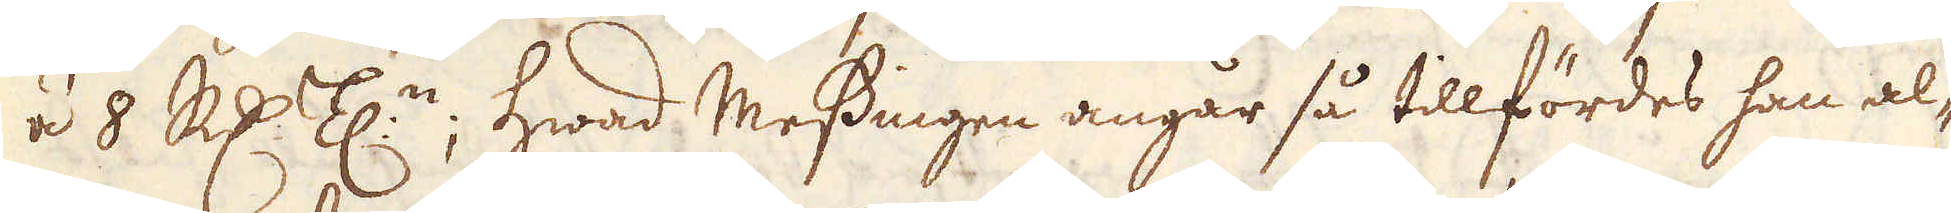à3 8 R:drEK:n; hwad Messingen angår så tillfördes han a-l
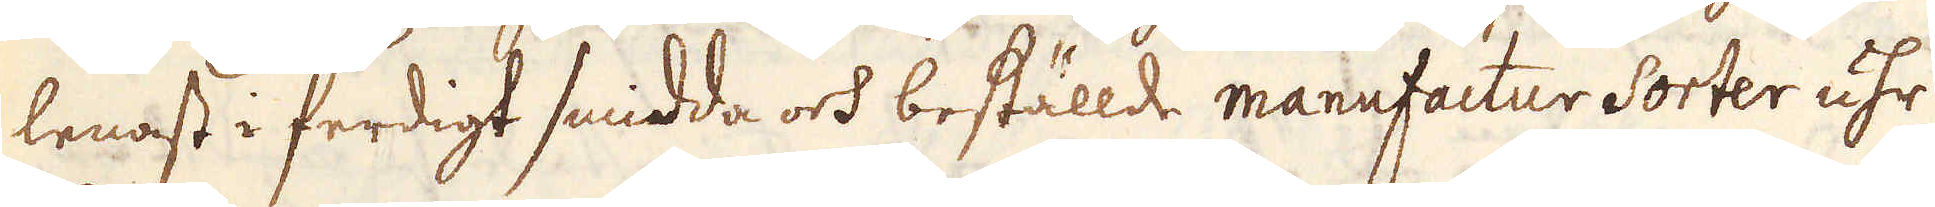lenast i ferdigt smidda och beställde manufactur Sorter uhr
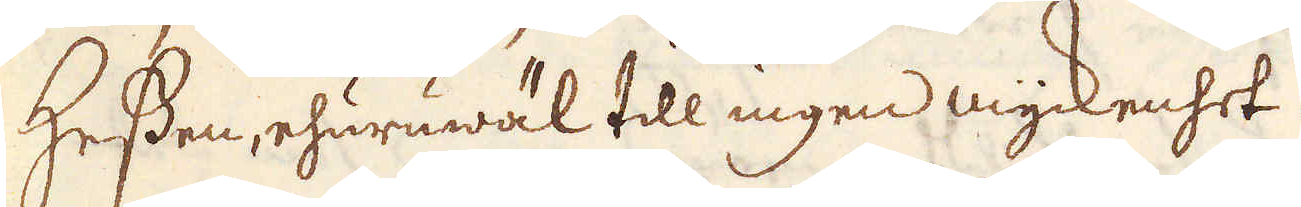Hessen, ehuruwäl till ingen myckenhet.
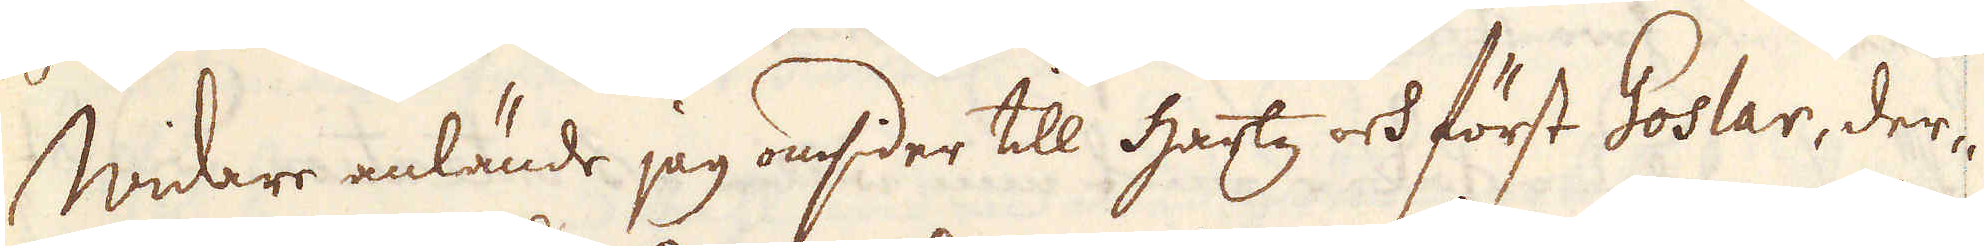Widare anlände jag omsider till Hartz och först Goslar, der-
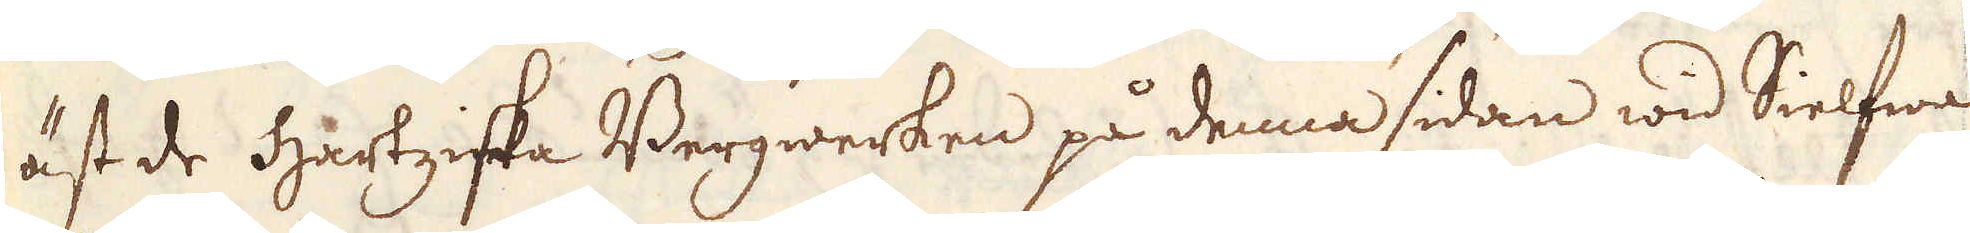äst de hartziska Bergwerken på denna sidan wid Sielfwa
